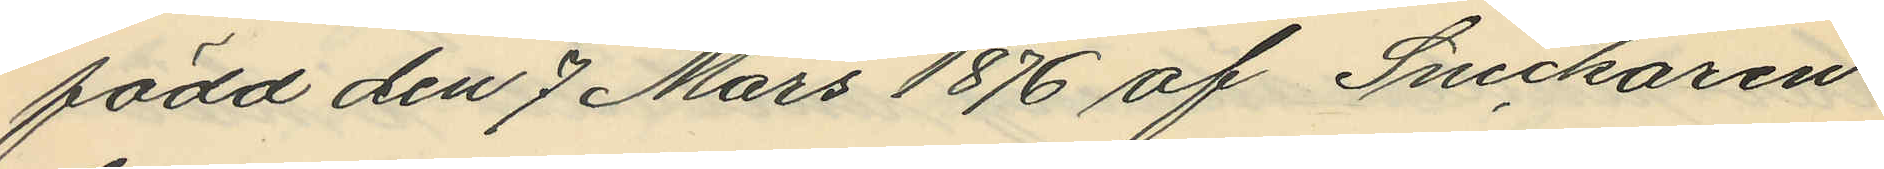född den 7 Mars 1876 af Snickaren
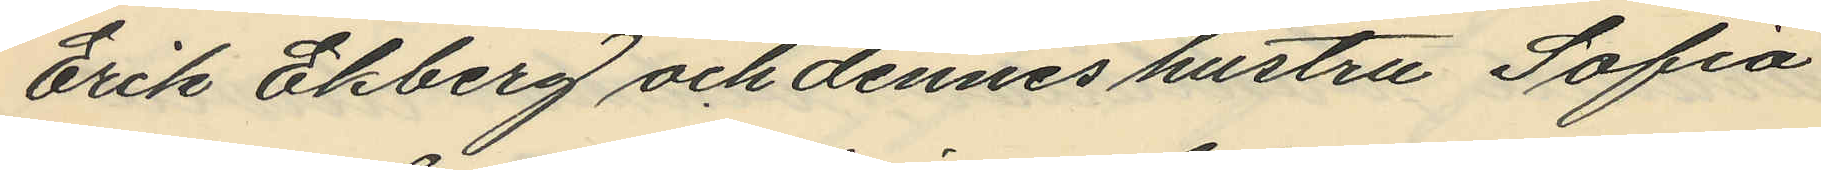Erik Ekberg och dennes hustru Sofia
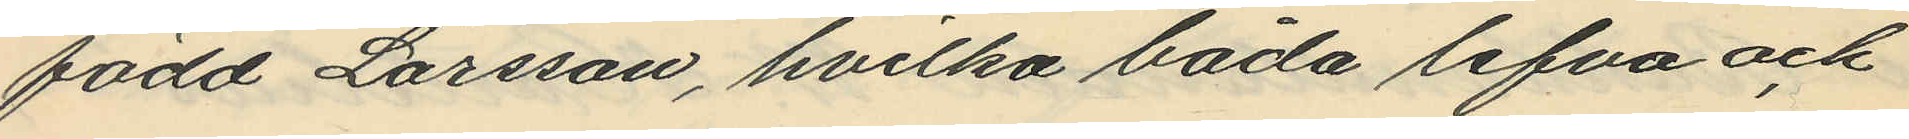född Larsson, hvilka båda lefva och
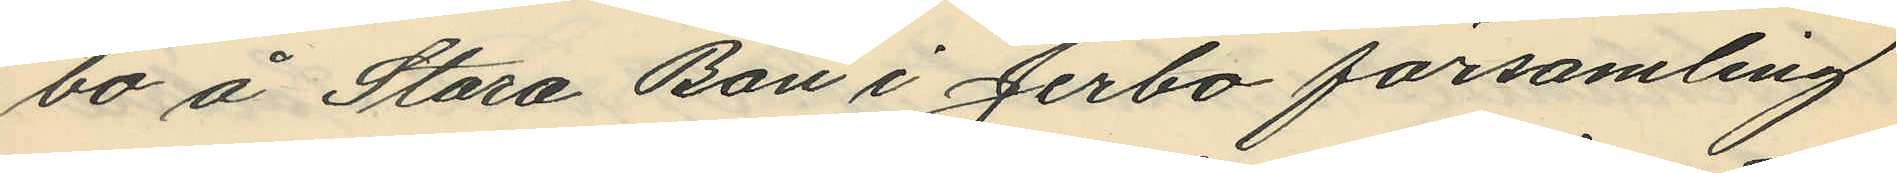bo å Stora Bön i Jerbo församling
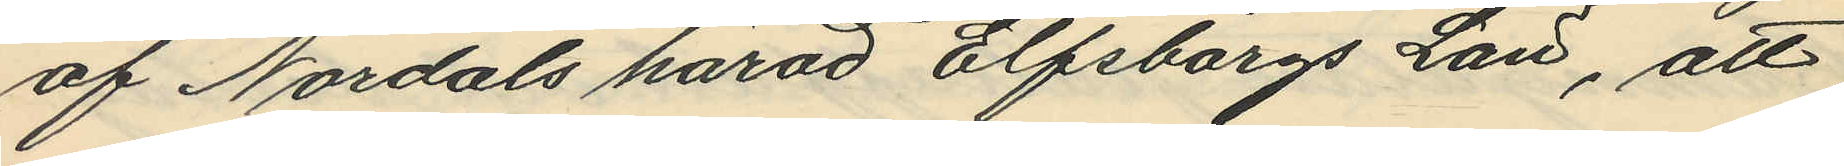af Nordals härad Elfsborgs Län, att
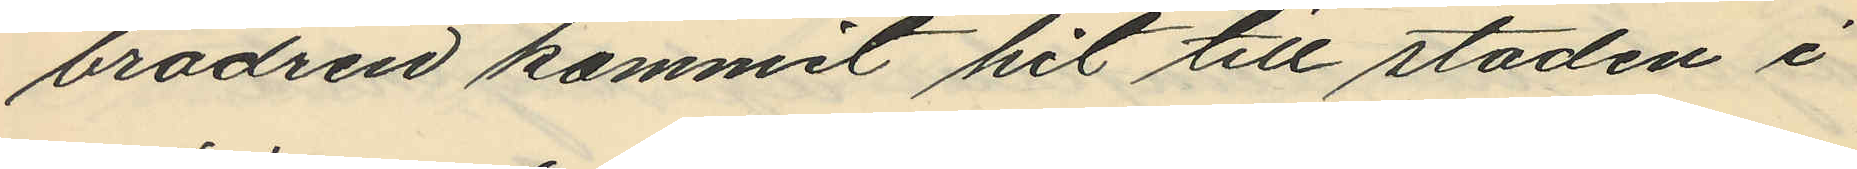brodren kommit hit till staden i
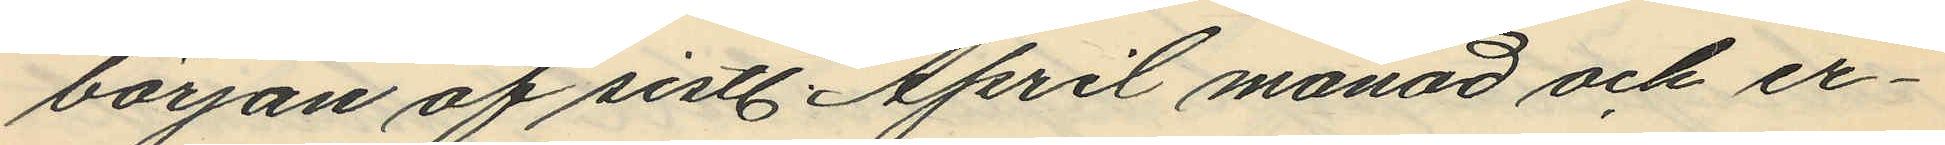början af sistl. April månad och er¬
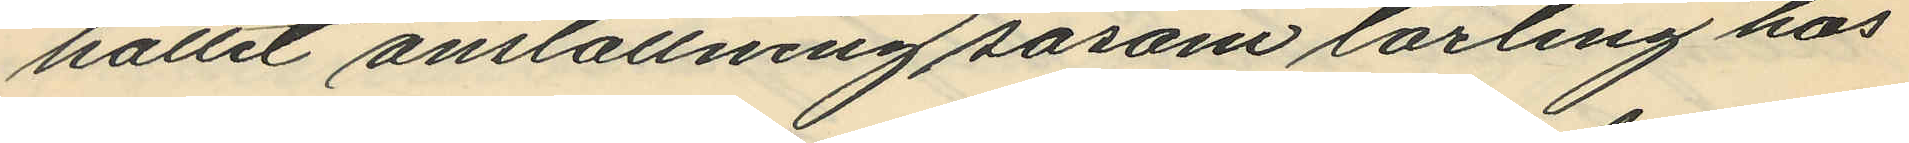hållit anställning såsom lärling hos
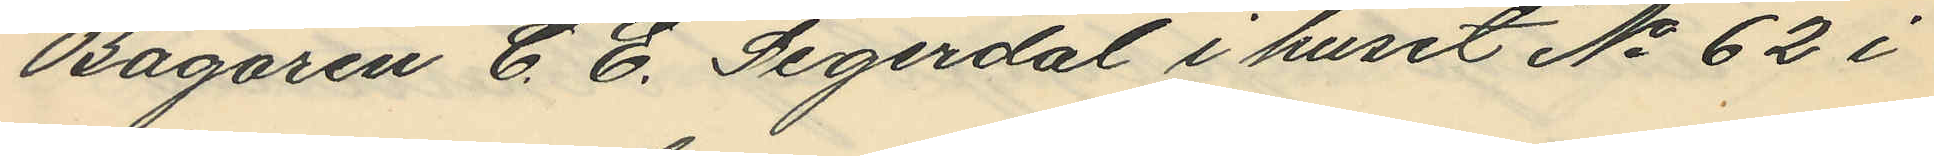Bagaren C. E. Segerdal i huset No 62 i
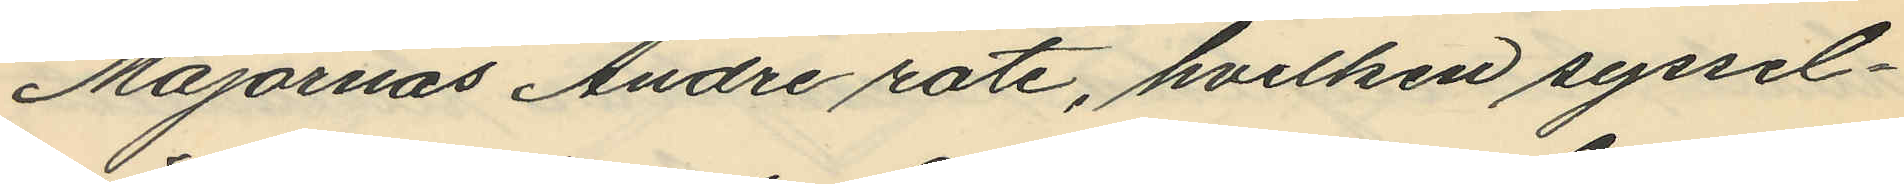Majornas Andre rote, hvilken syssel¬
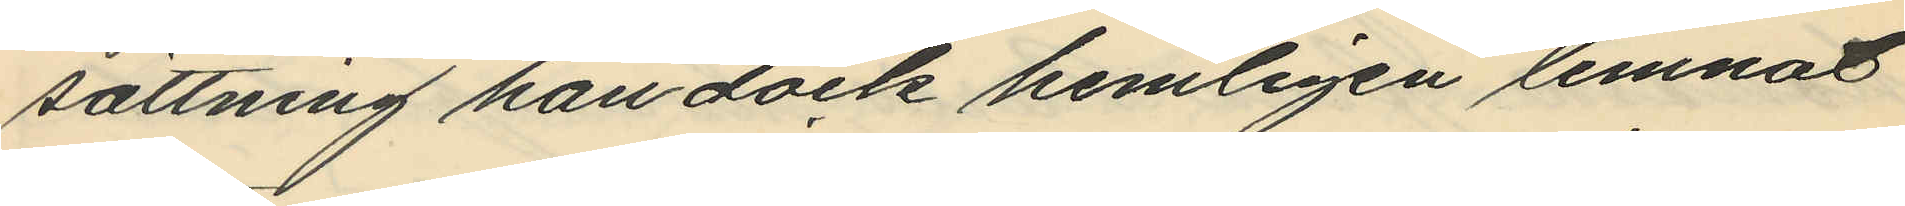sättning han dock hemligen lemnat
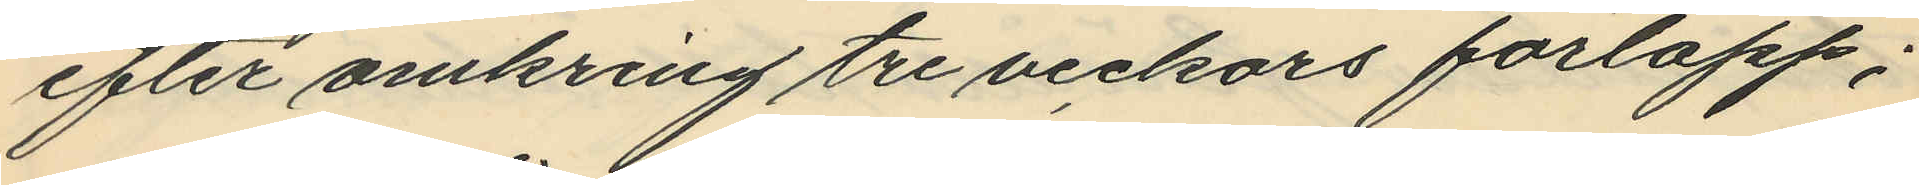efter omkring tre veckors förlopp;
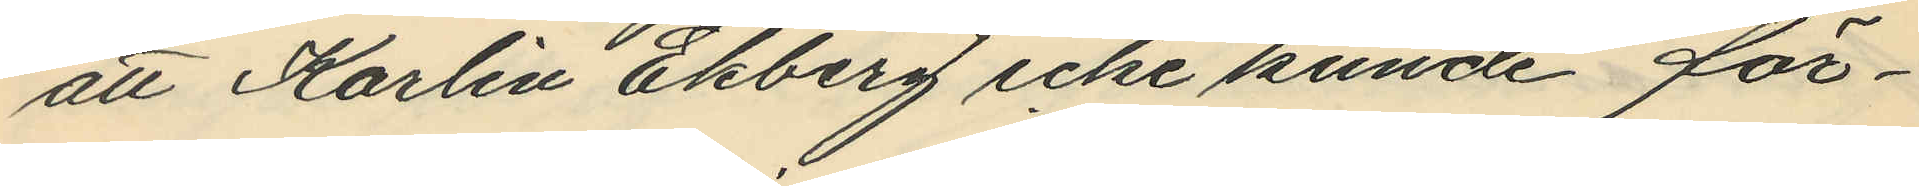att Karlin Ekberg icke kunde för¬
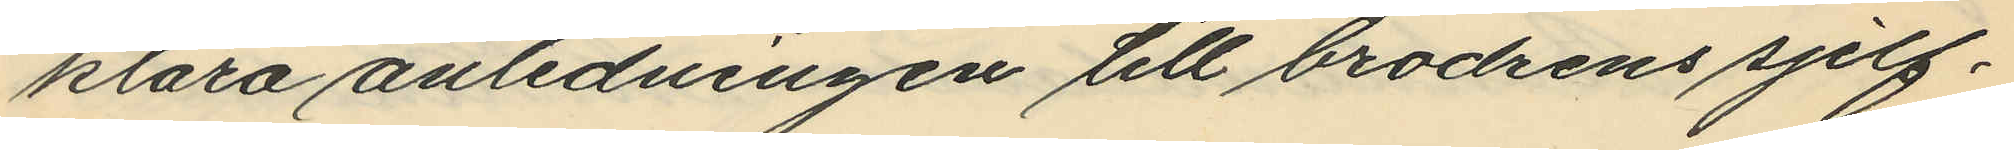klara anledningen till brodrens sjelf¬
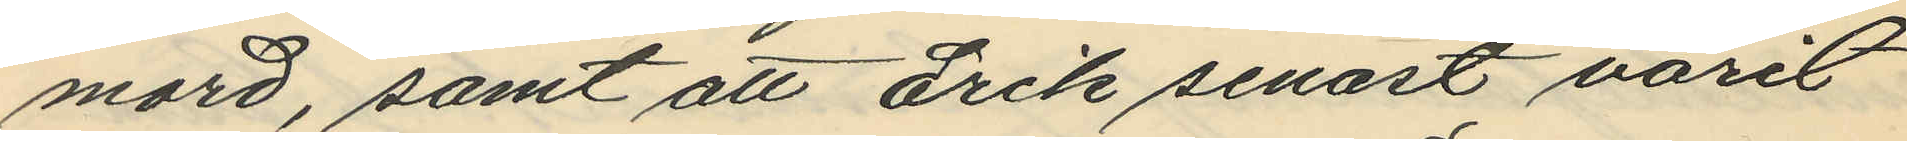mord, samt att Erik senast varit
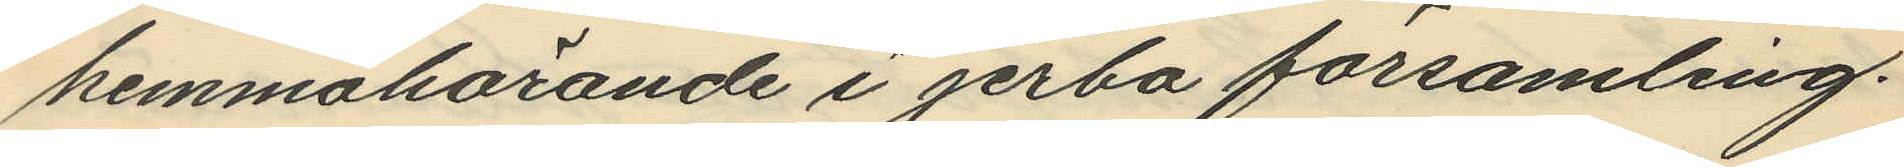hemmahörande i jerbo församling.
